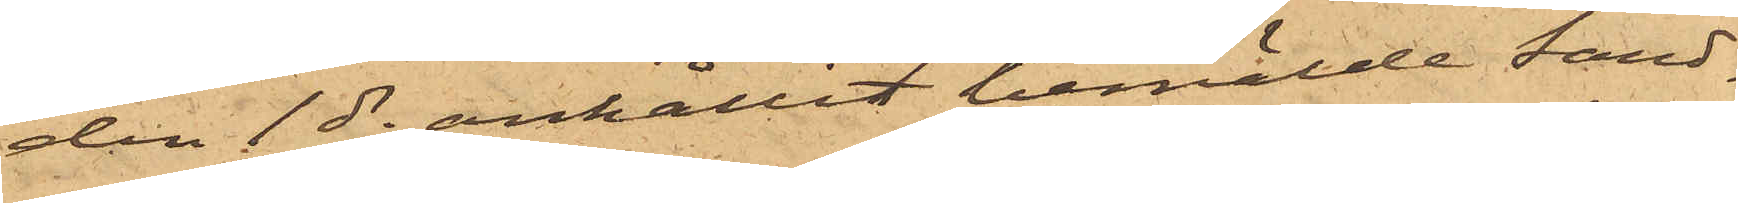den 1 ds anhållit bemälde Sand¬
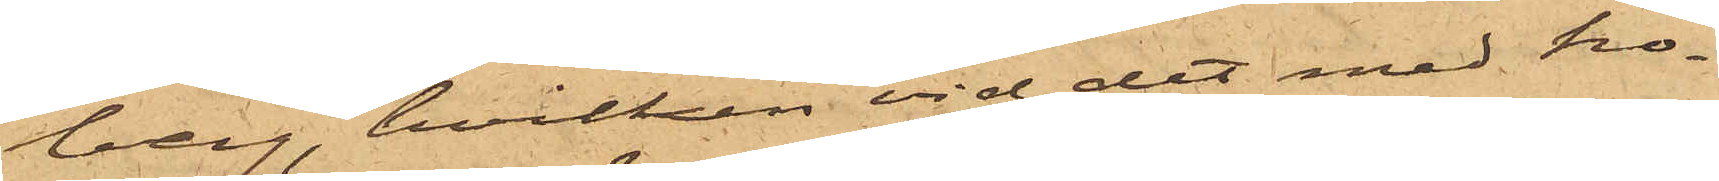berg, hvilken vid det med ho¬
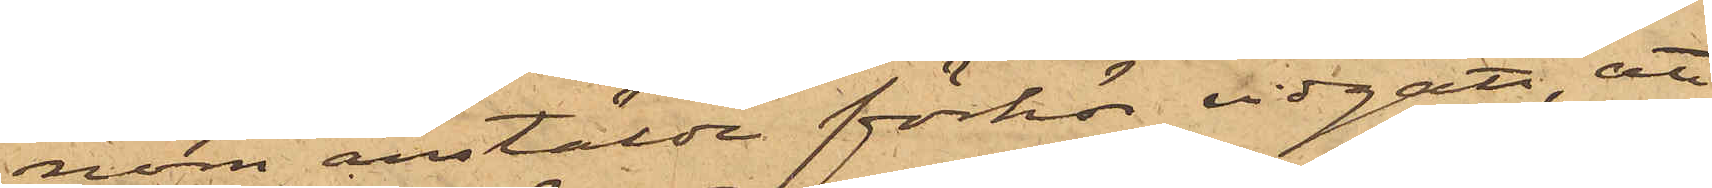nom anstälde förhör vidgått, att
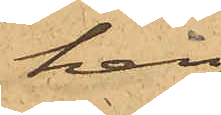han,
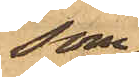som
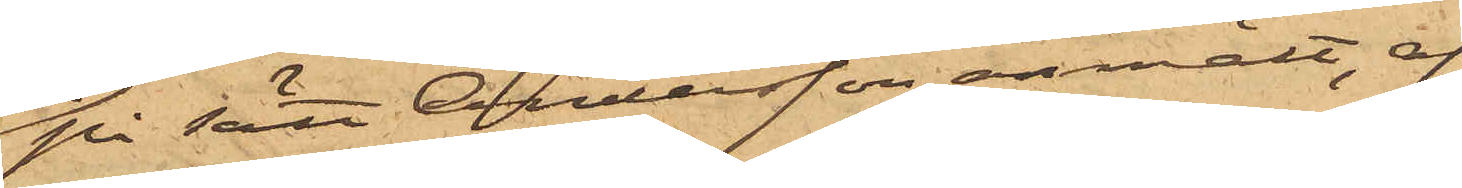på sätt Andersson anmält, af
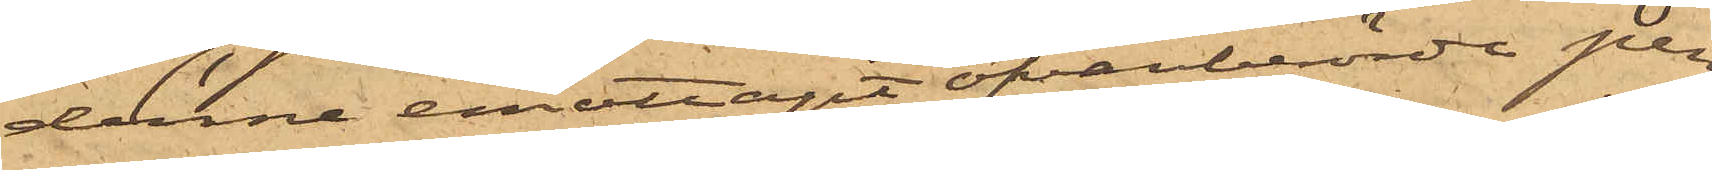denne emottagit ofvanberörde pen¬
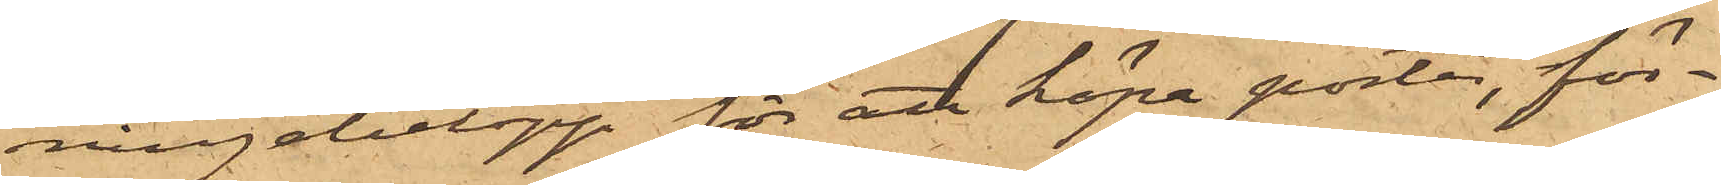ningebelopp för att köpa porter, för¬
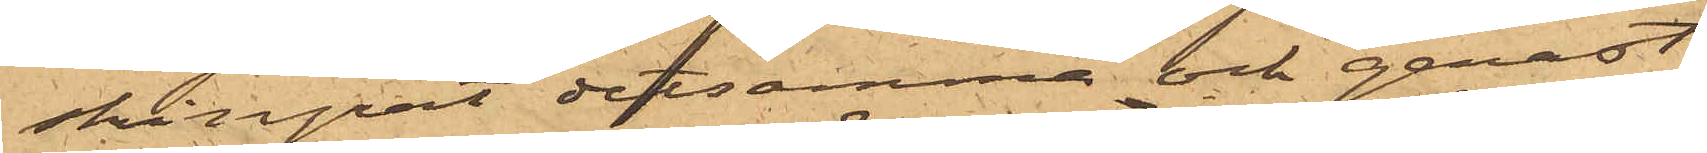skingrat detsamma och genast
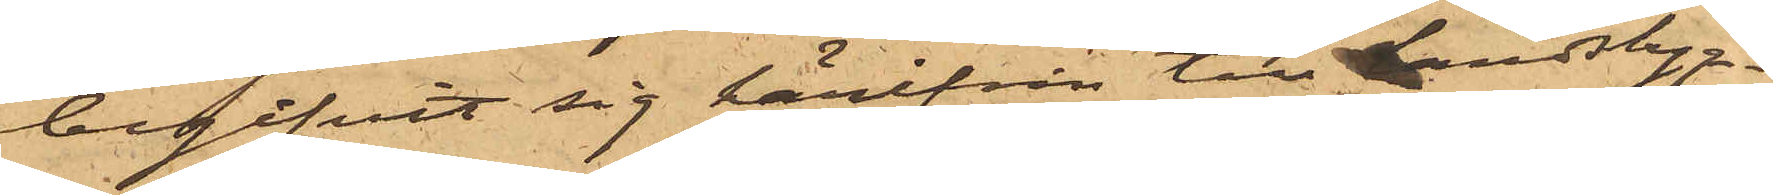begifvit sig härifrån till Landsbyg¬
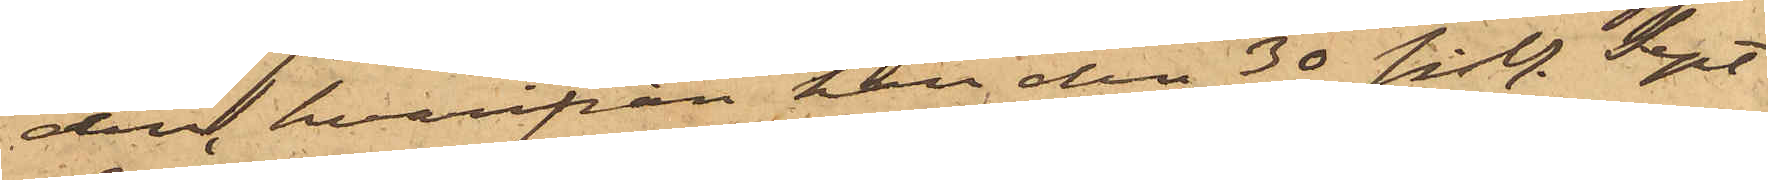den, hvarifrån han den 30 sist. Sept
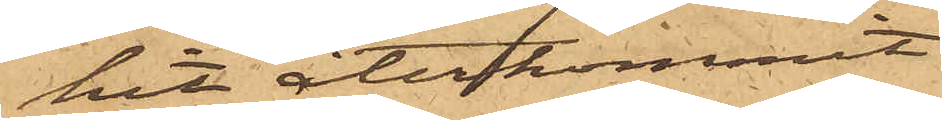hit återkommit.
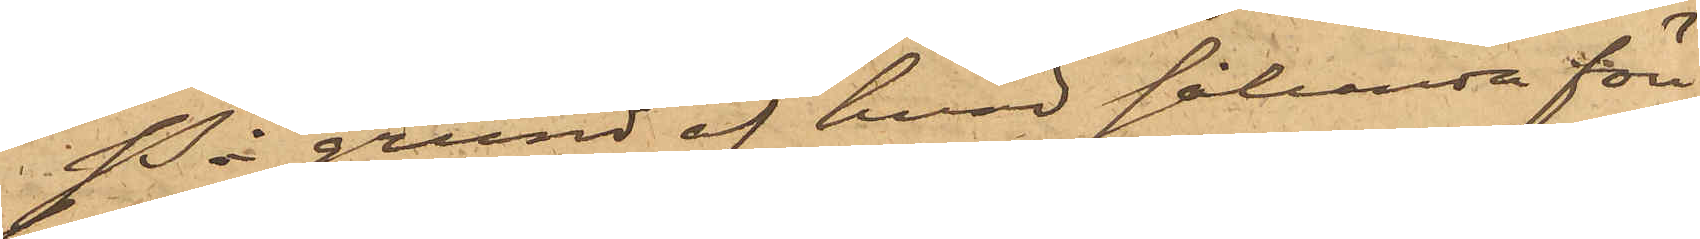På grund af hvad sålunda före¬
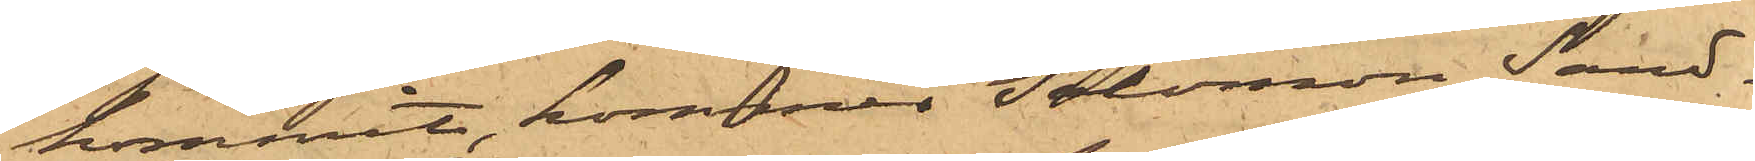kommit, kommer Salomon Sand¬
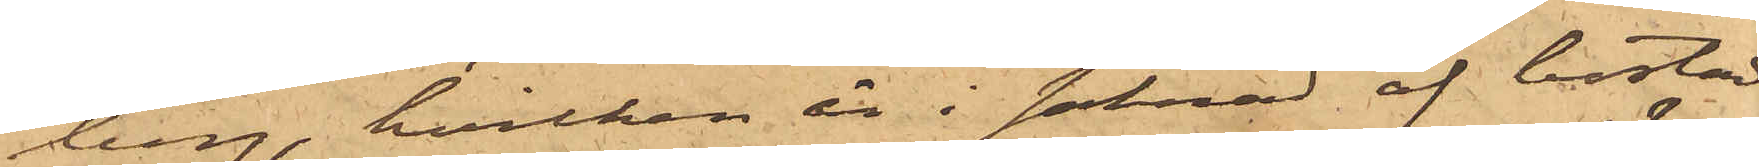berg, hvilken är i saknad af bostad
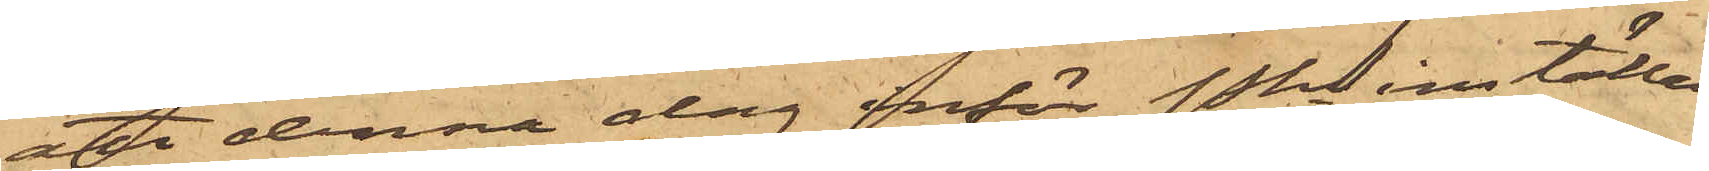att denna dag inför Pkn inställas.
